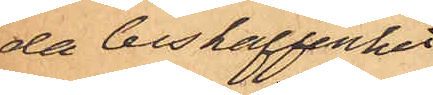da beskaffenhet
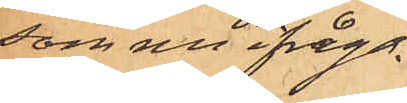som nu ifråga¬
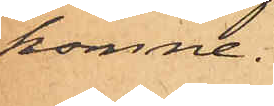komne.
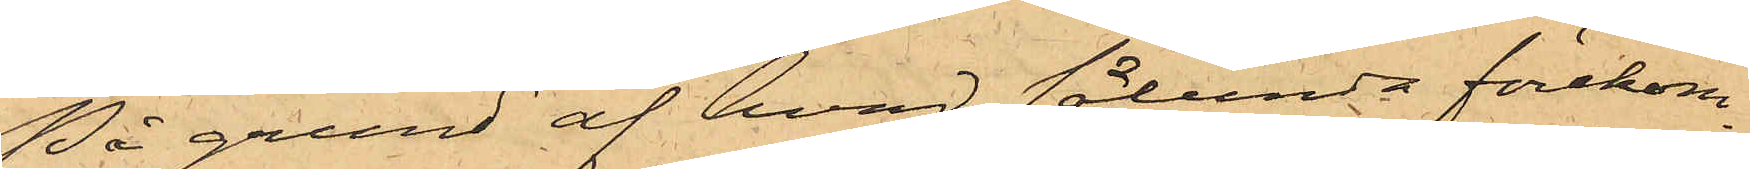På grund af hvad sålunda förekom¬
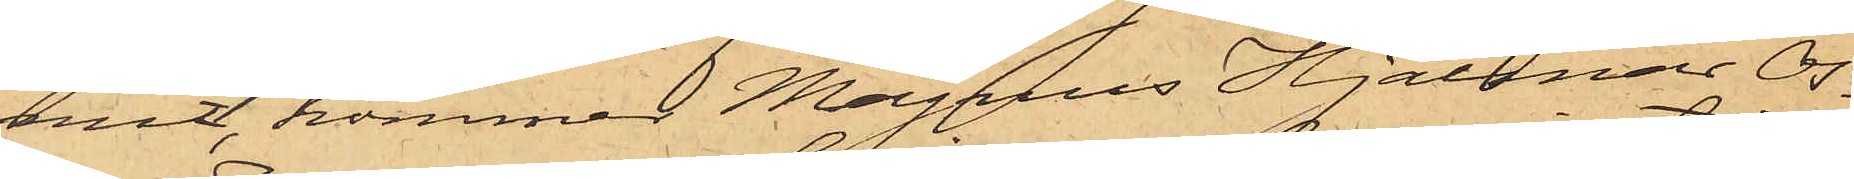mit, kommer Magnus Hjalmar Os¬
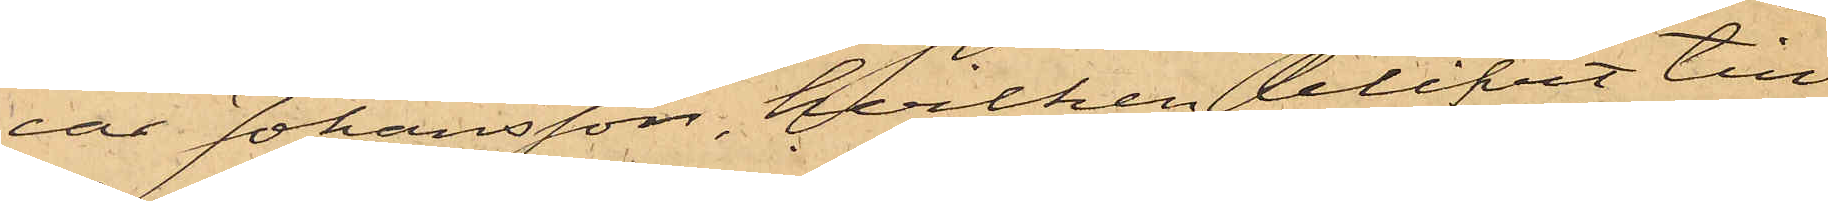car Johansson, hvilken blifvit till
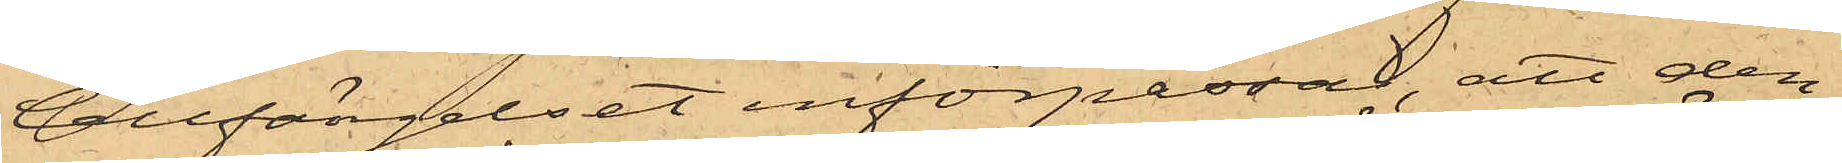Cellfängelset införpassad, att den¬
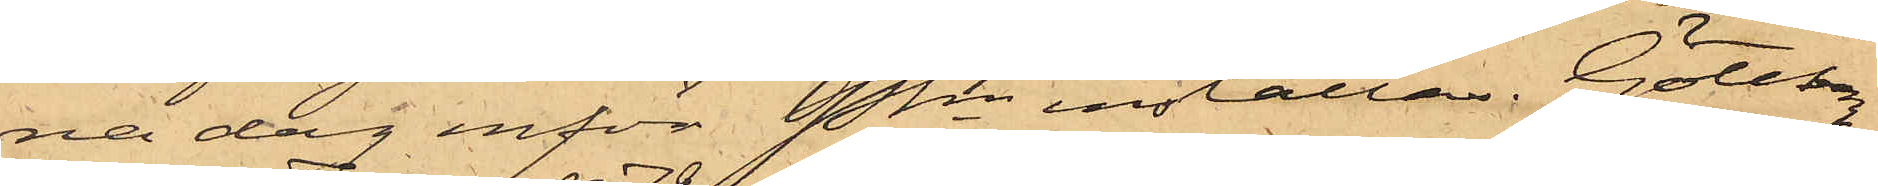na dag inför Pkn inställas. Göteborg
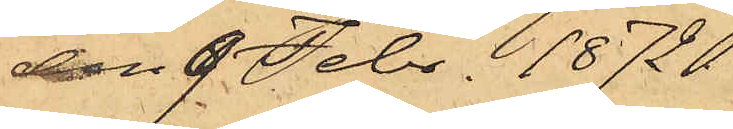den 9 Febr. 1872.
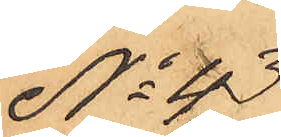No 43
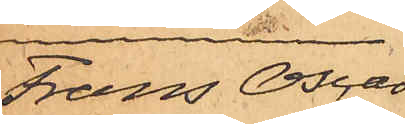Frans Oscar
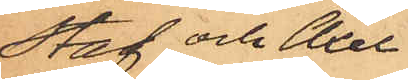Staf och Axel
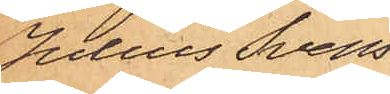Julius Svens¬
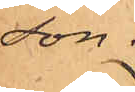son.
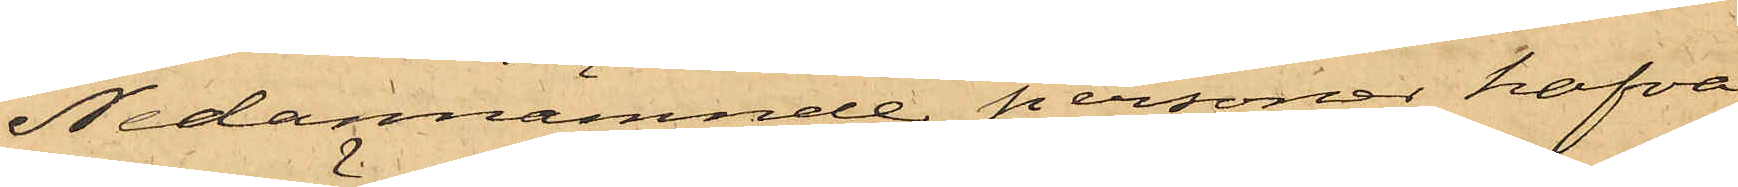Nedannämnde personer hafva
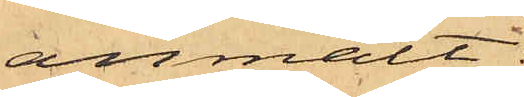anmält:
